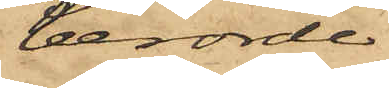berörde
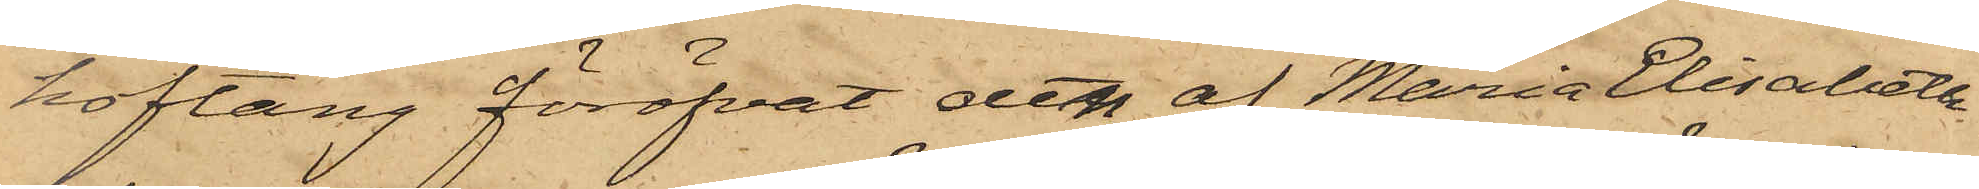hoftång föröfvat den af Maria Elisabeth
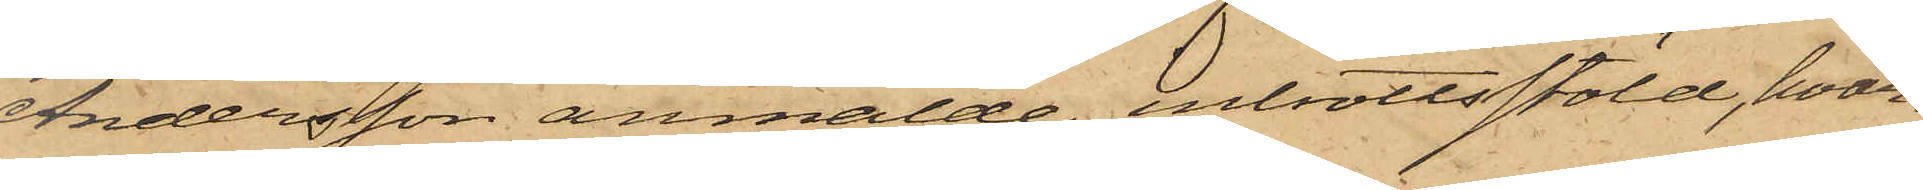Andersson anmälde inbrottsstöld, hvar¬
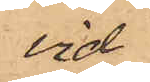vid
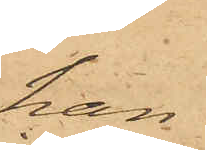han
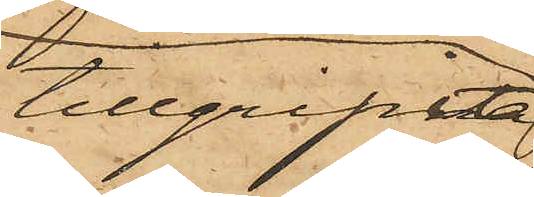tillgripit
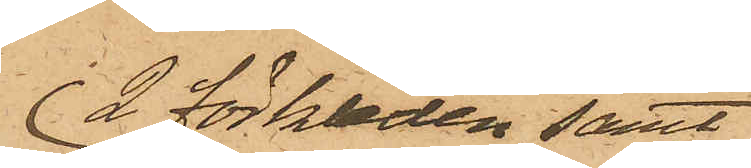2 förkläden samt
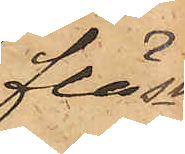fläsk
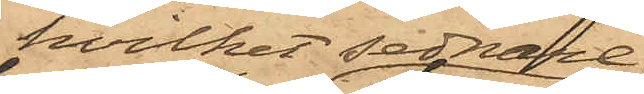hvilket sednare
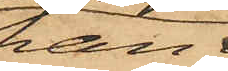han
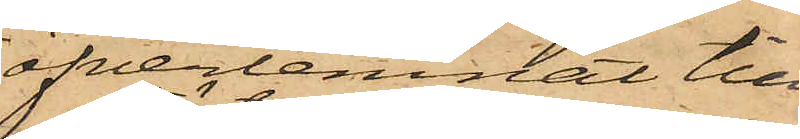öfverlemnat till
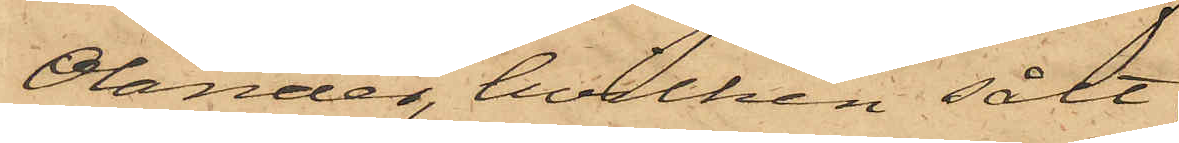Olander, hvilken sålt
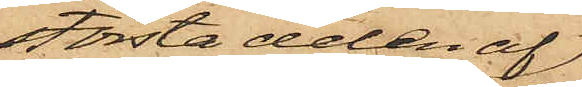största delen af
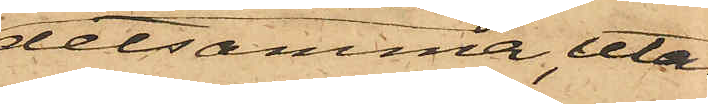detsamma, utan
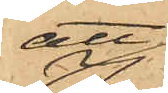att
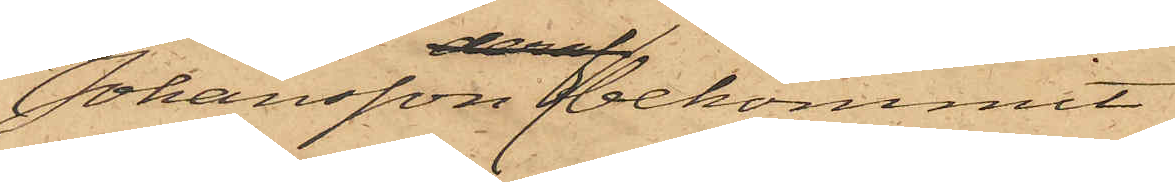Johansson bekommit
